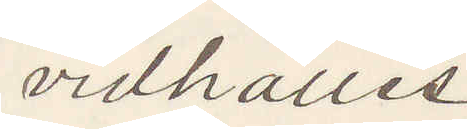vidhålles
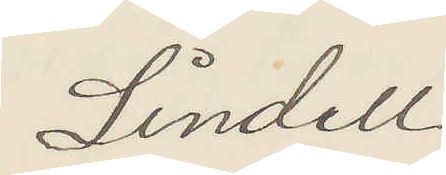Lindell
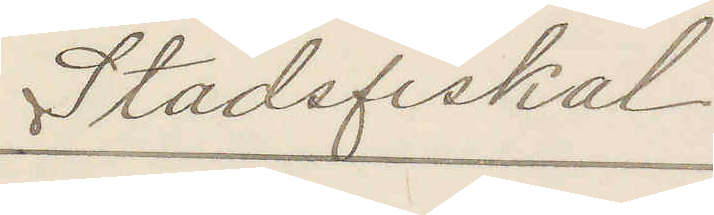Stadsfiskal
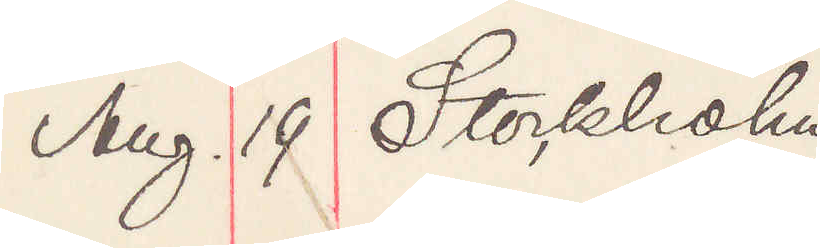Aug. 19 Stockholm
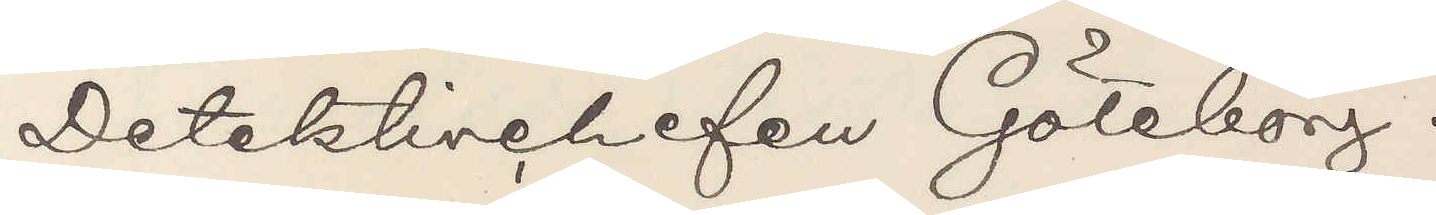Detektivchefen Göteborg.
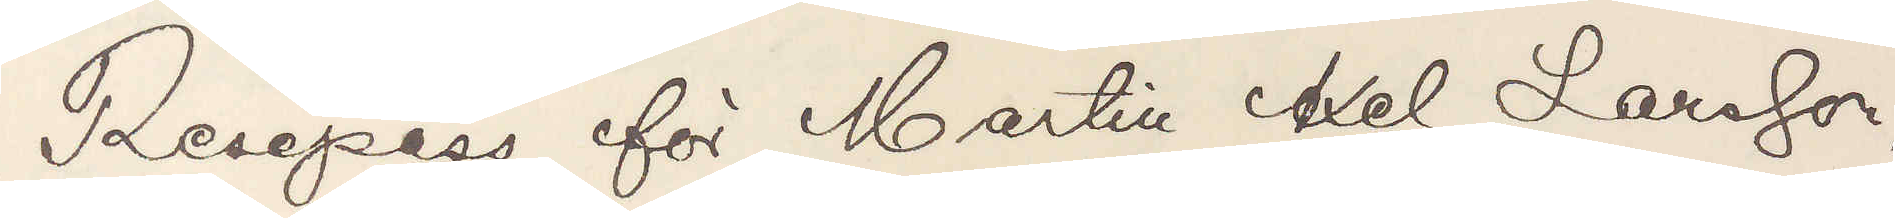Resepass för Martin Axel Larsson,
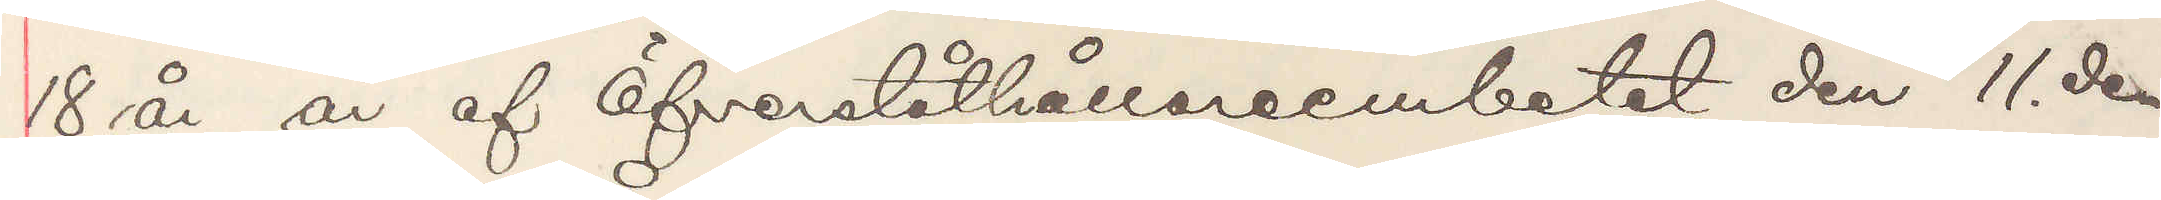18 år, är af Öfverståthållareembetet den 11. den¬
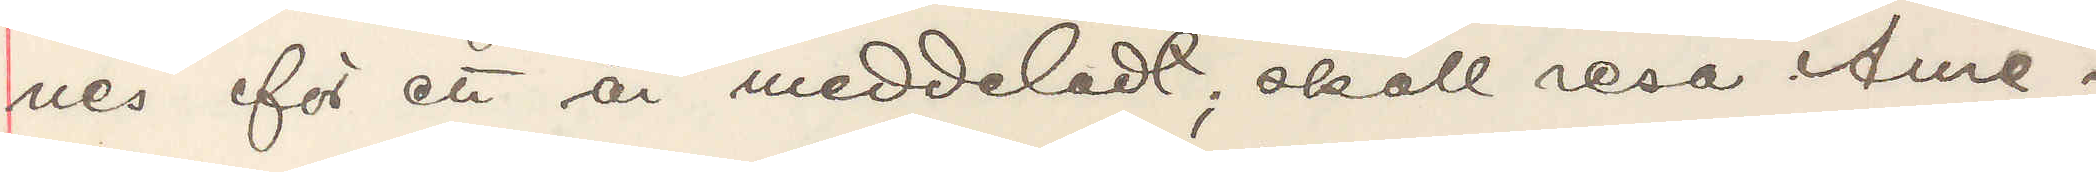nes för ett år meddeladt; skall resa Ame¬
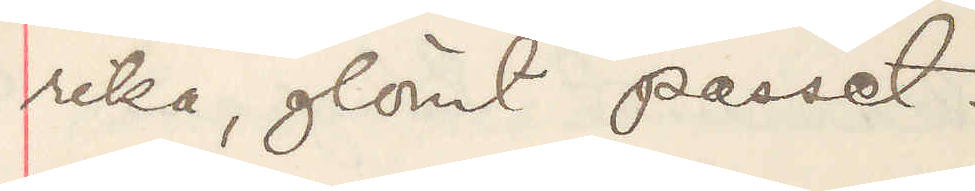rika, glömt passet.
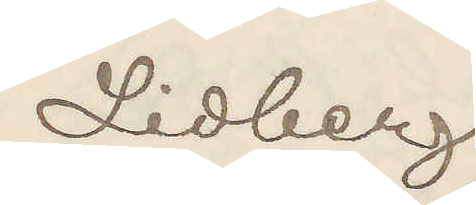Lidberg
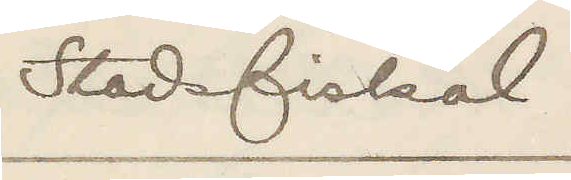Stadsfiskal.
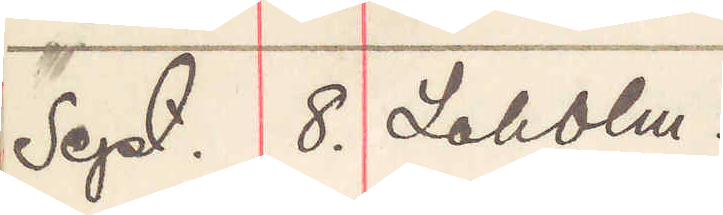Sept. 8. Laholm.
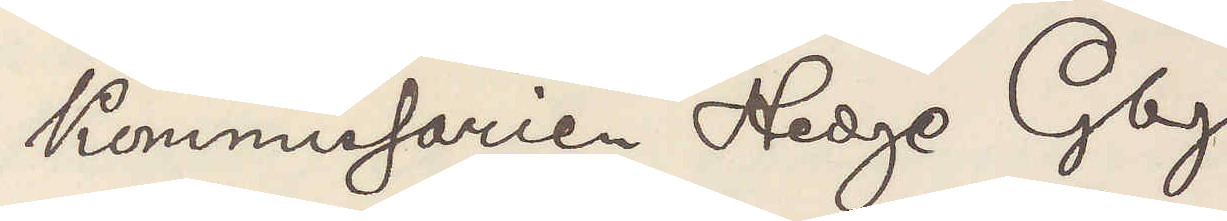Kommissarien Hedge Gbg.
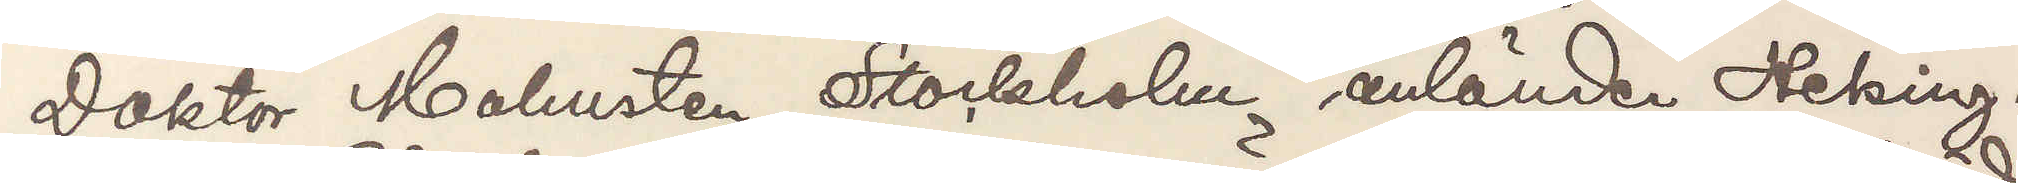Doktor Holmsten, Stockholm anländer Helsing¬
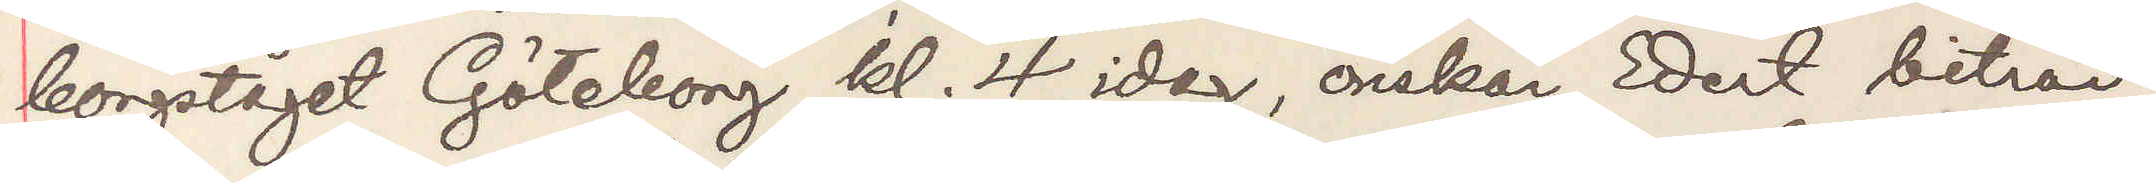borgståget Göteborg kl. 4 idag, önskar Edert biträde,
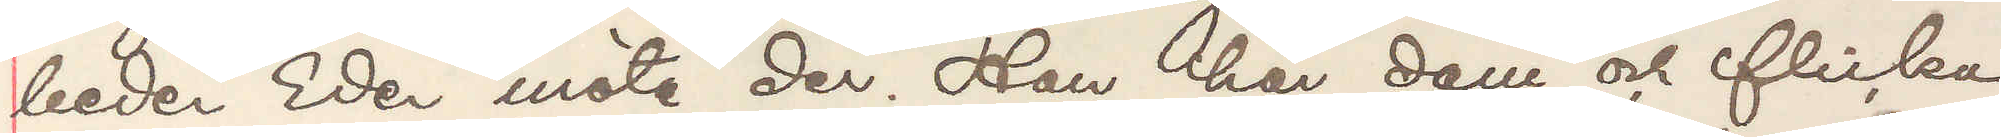beder Eder möta der. Han har dam och flicka
